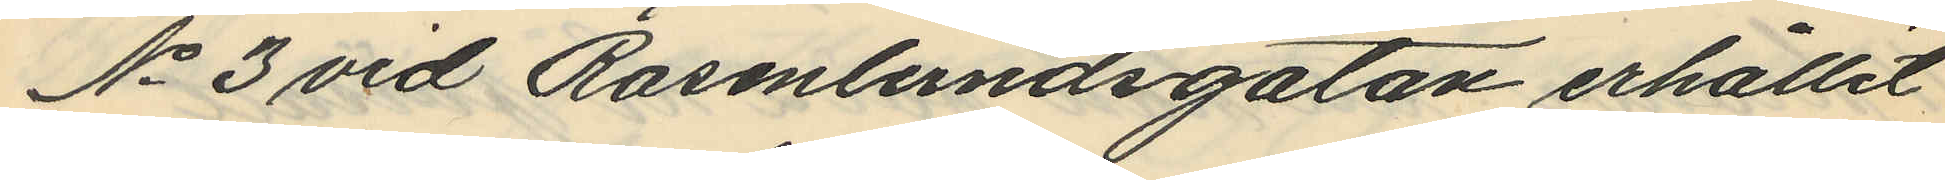No 3 vid Rosenlundsgatan erhållit
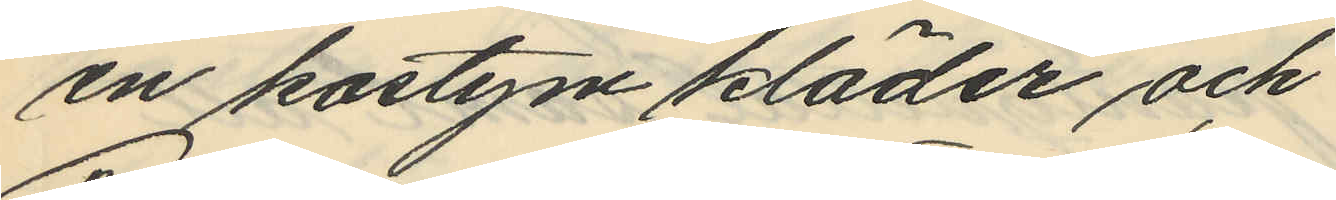en kostym kläder och
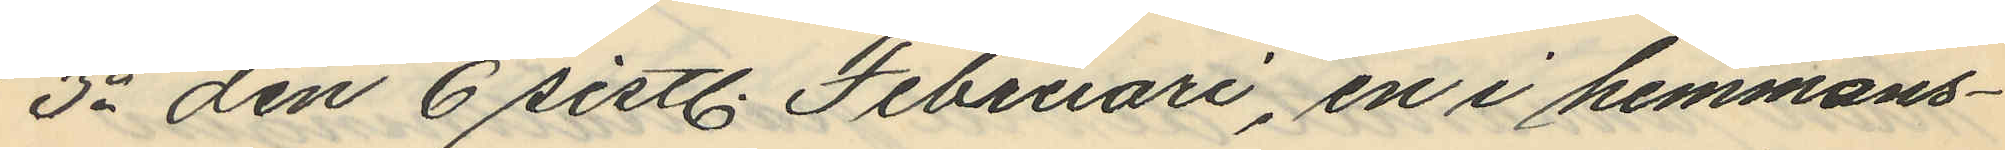3o den 6 sistl. Februari, en i hemmans¬
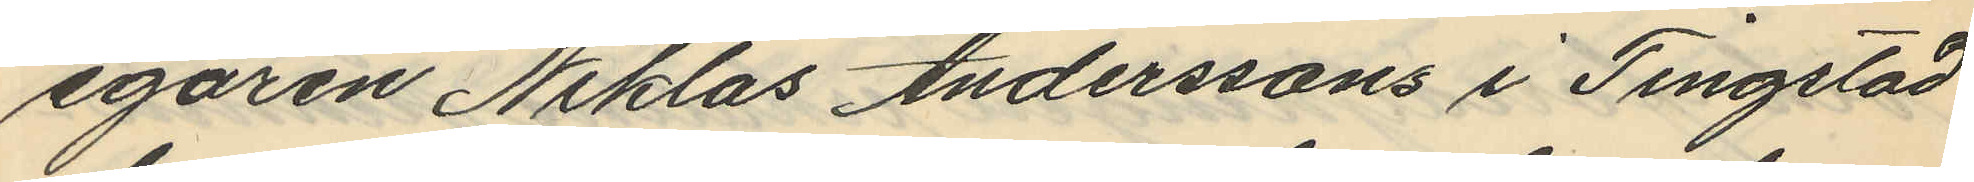egaren Niklas Anderssons i Tingstad
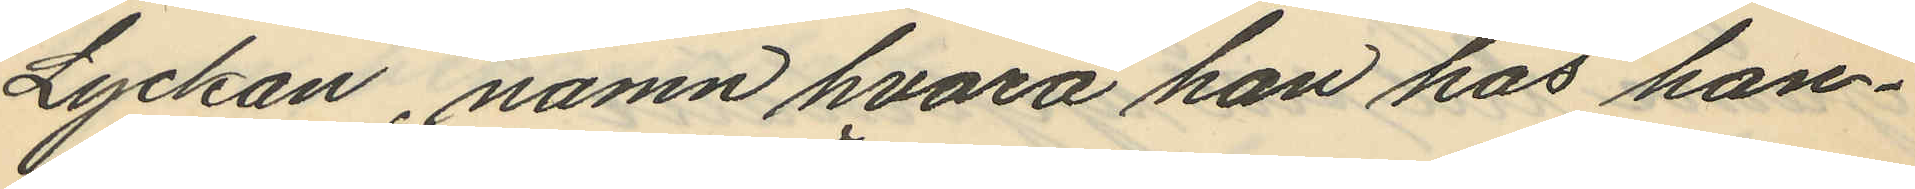Lyckan, namn hvarå han hos han¬
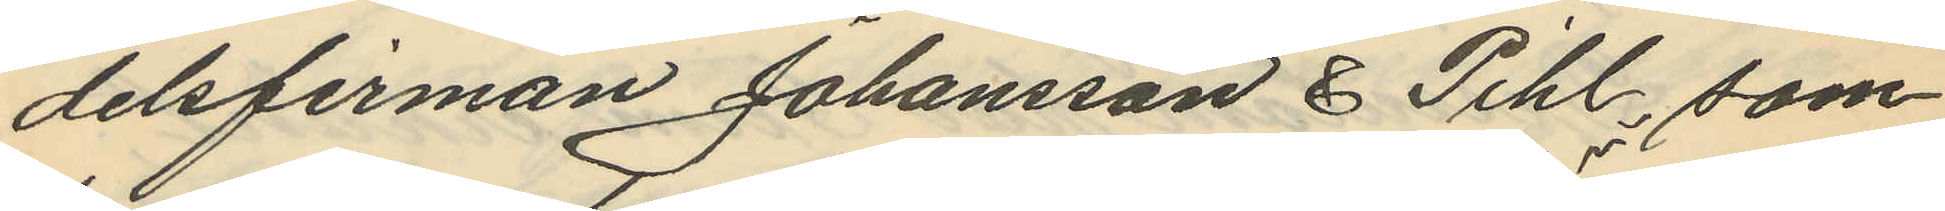delsfirman Johansson & Pihl, som
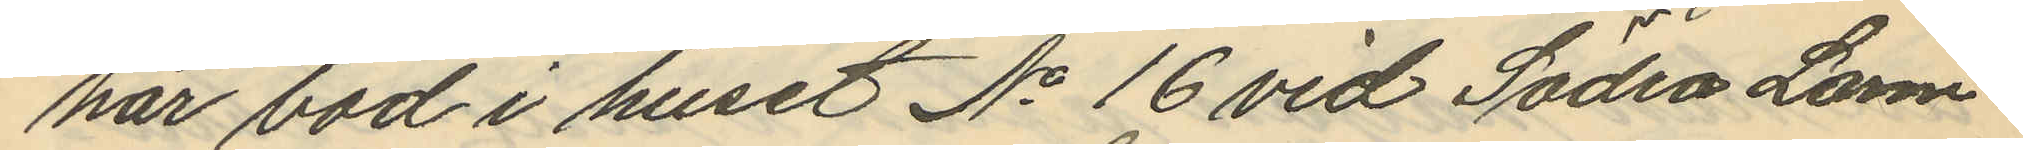har bod i huset No 16 vid Södra Larm¬
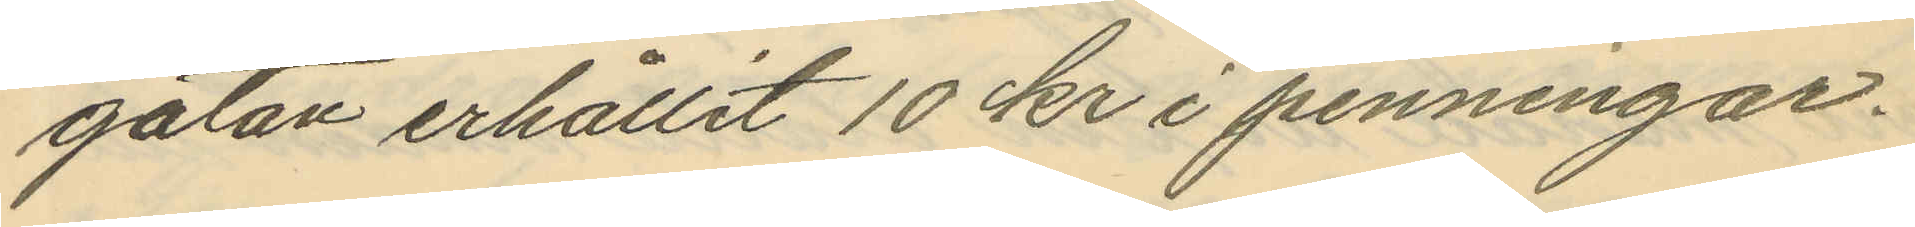gatan erhållit 10 kr i penningar.
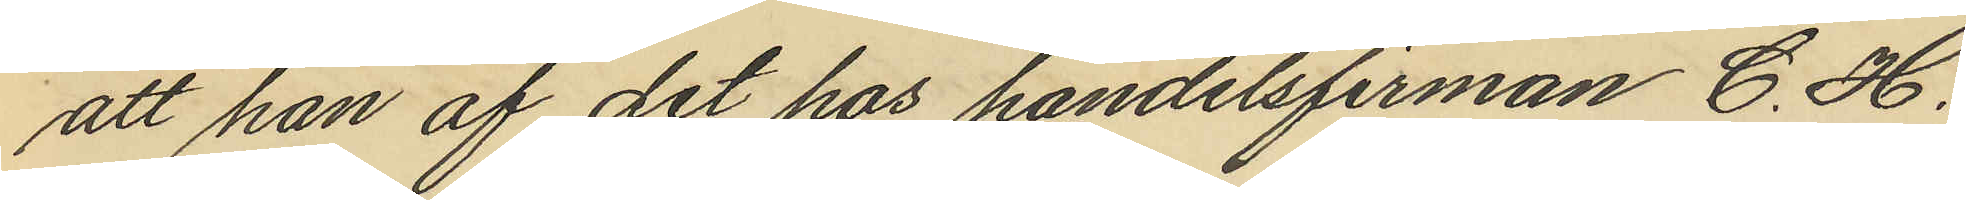att han af det hos handelsfirman C. H.
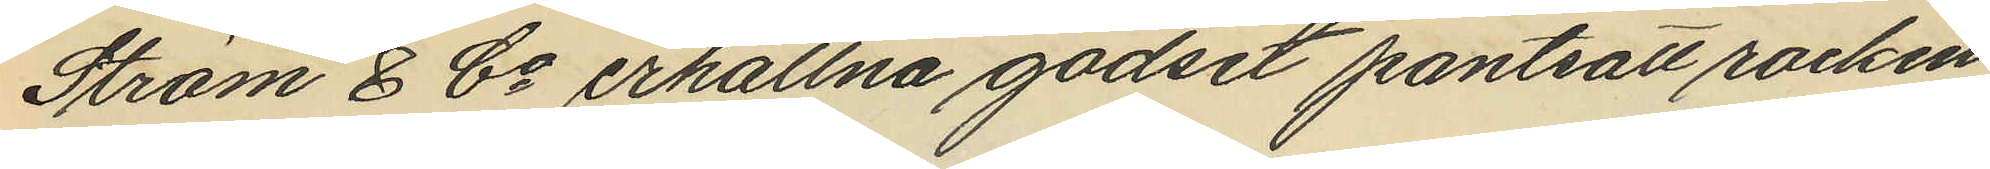Ström & Co erhållna godset pantsatt rocken
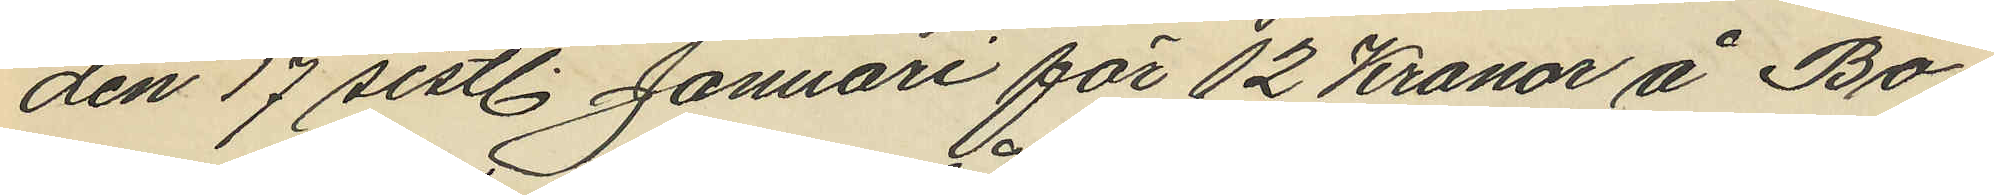den 17 sistl. Januari för 12 Kronor å Bo¬
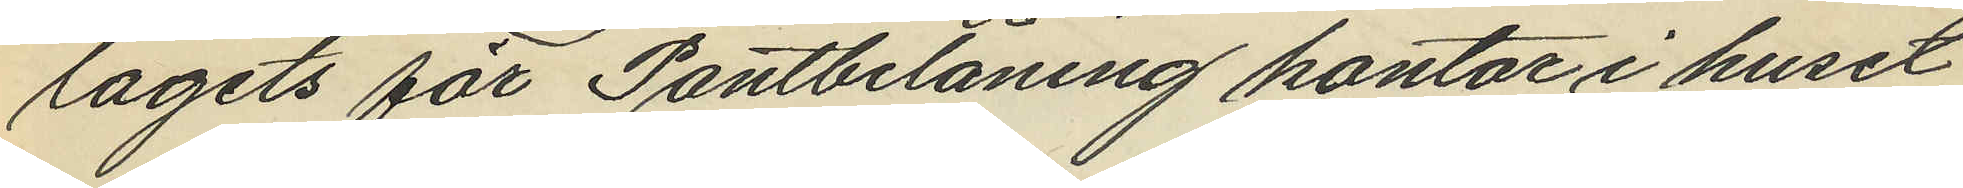lagets för Pantbelåning kontor i huset
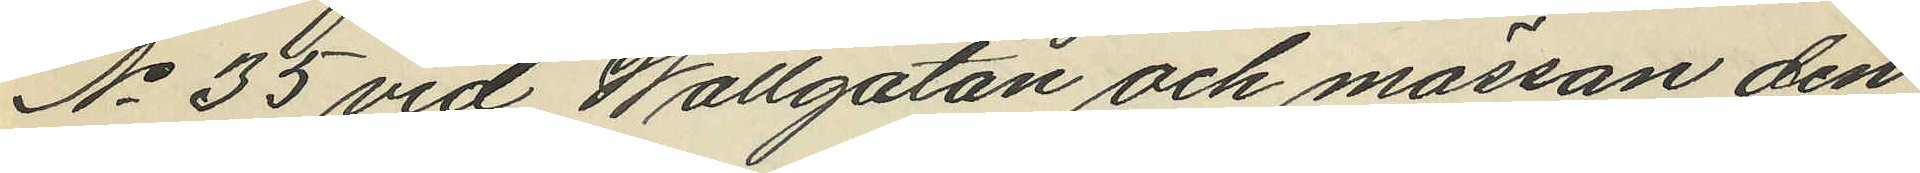No 55 vid Wallgatan och mössan den
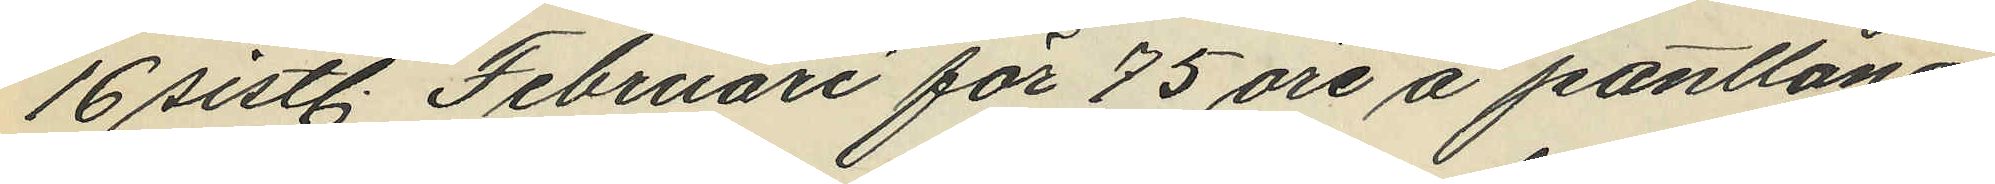16 sistl. Februari för 75 öre å pantlåna¬
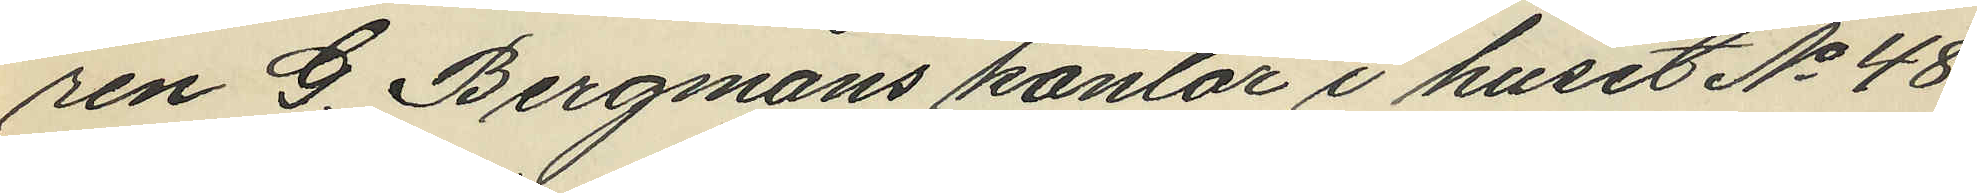ren G. Bergmans kontor i huset No 48
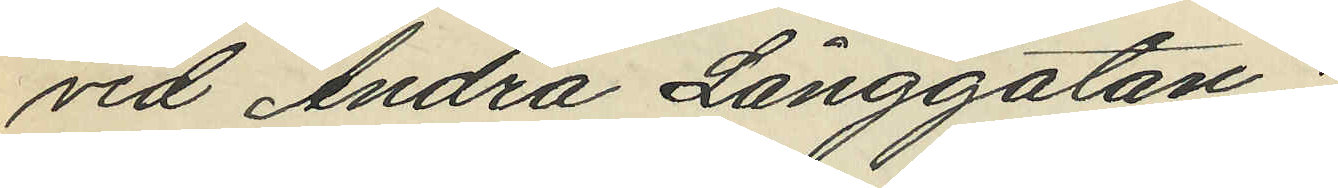vid Andra Långgatan;
